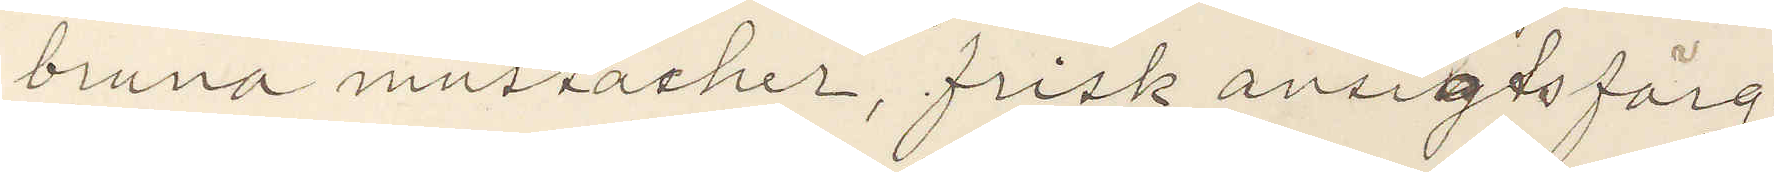bruna mustacher, frisk ansigtsfärg.
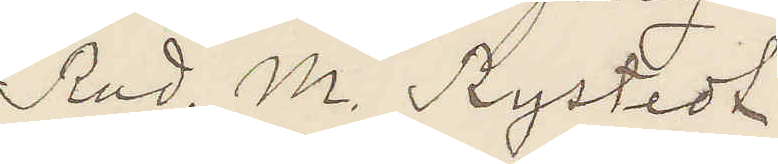Rud. M. Rystedt
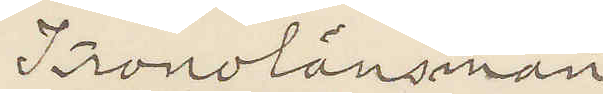Kronolänsman
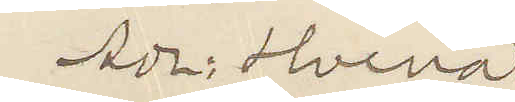Adr: Hvena.
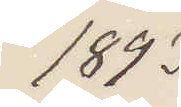1893
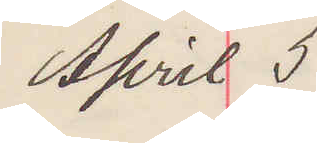April 5
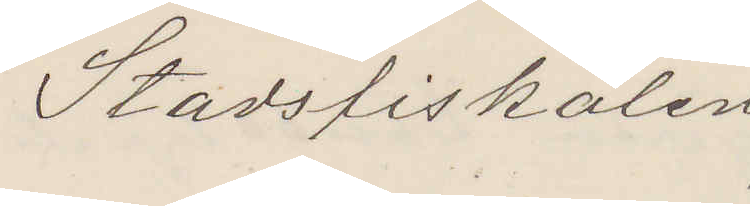Stadsfiskalen
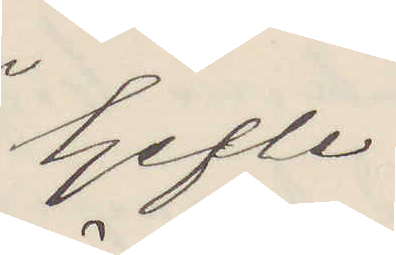Gefle.
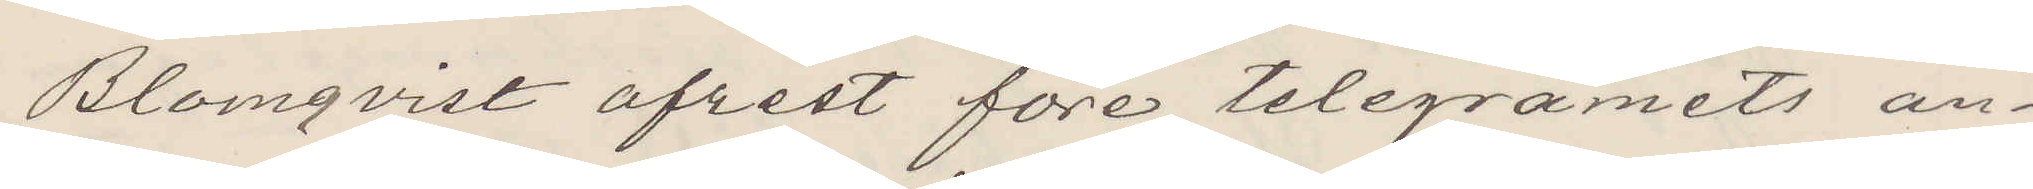Blomqvist afrest före telegramets an¬
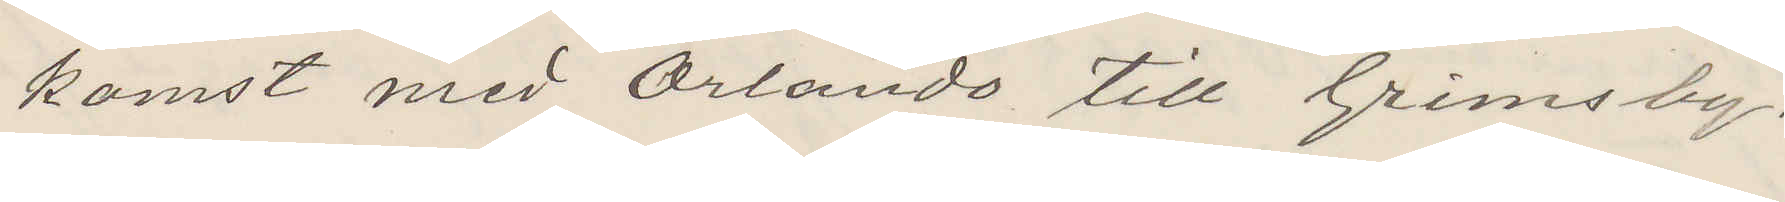komst med Orlando till Grimsby.
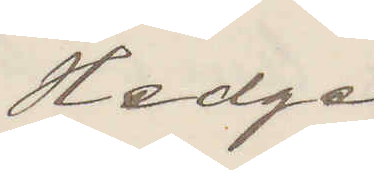Hedge
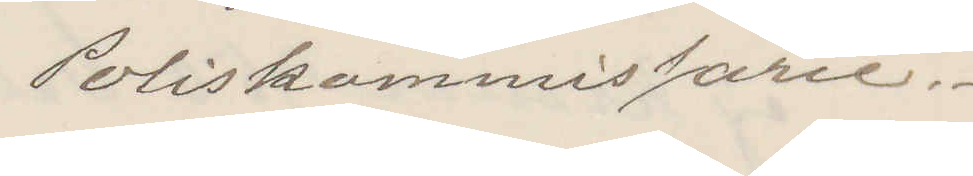Poliskommissarie.
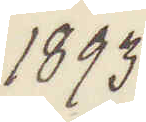1893
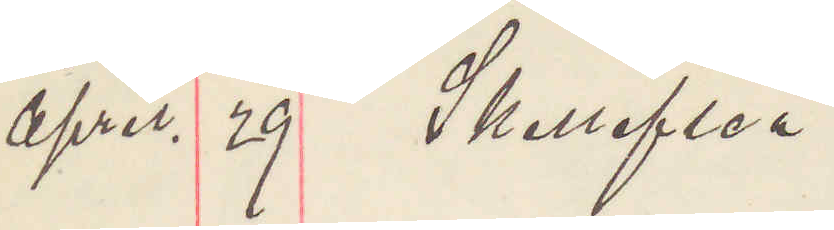April. 29 Skellefteå.
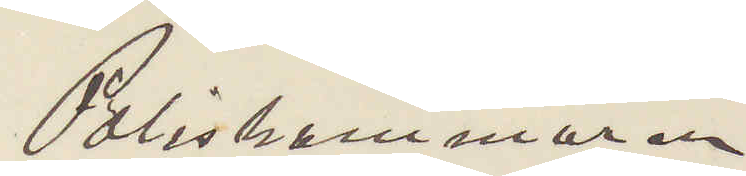Poliskammaren
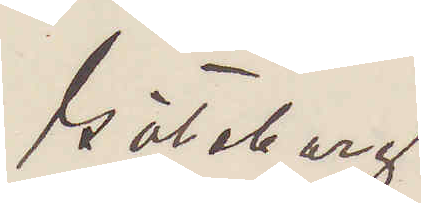Göteborg.
